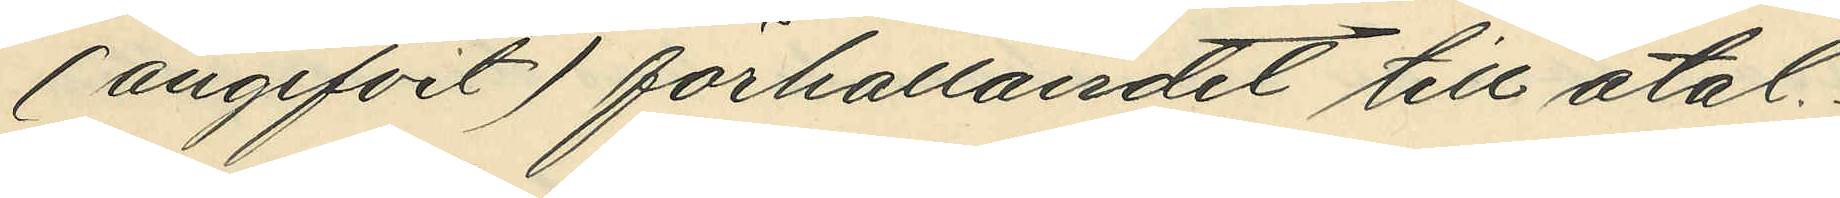(angifvit) förhållandet till åtal.
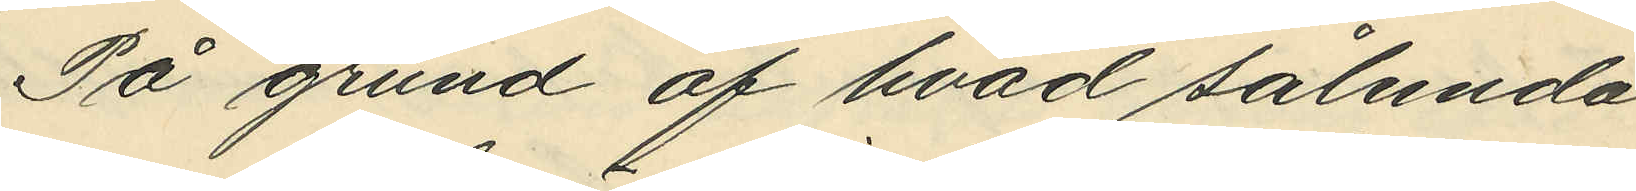På grund af hvad sålunda
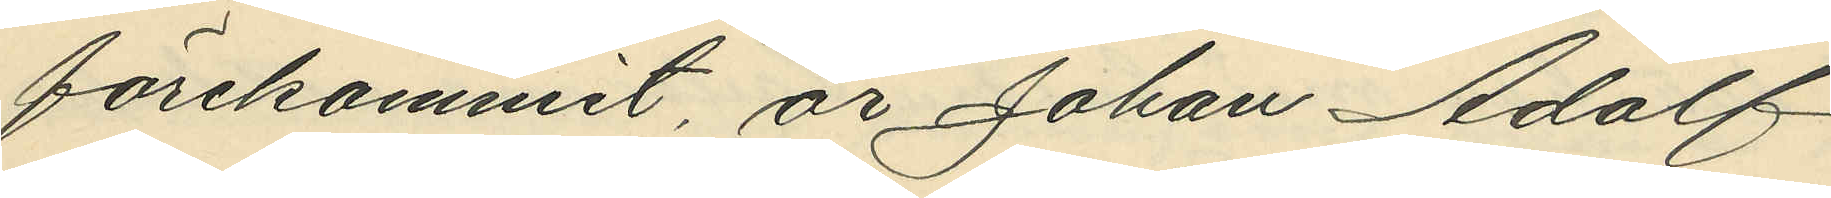förekommit är Johan Adolf
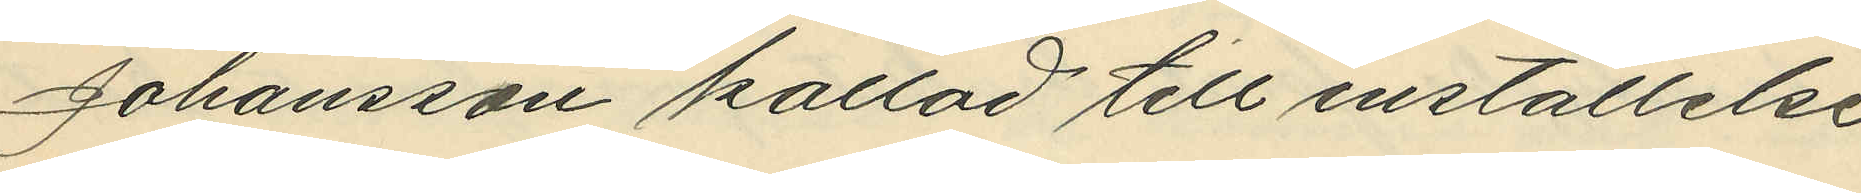Johansson kallad till inställelse
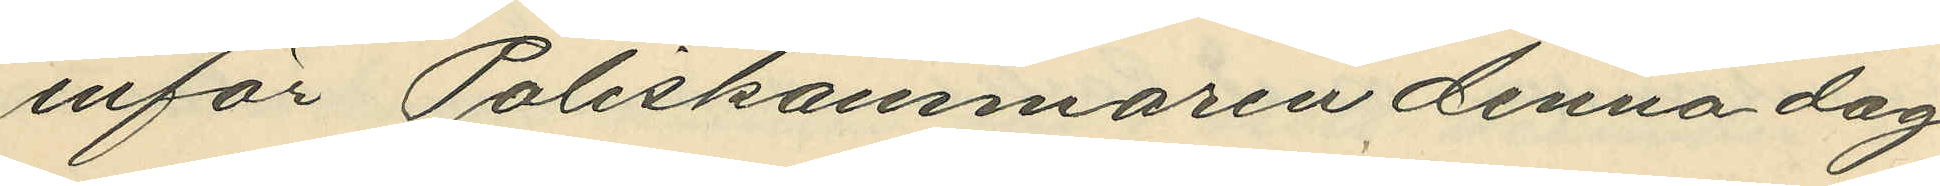inför Poliskammaren denna dag
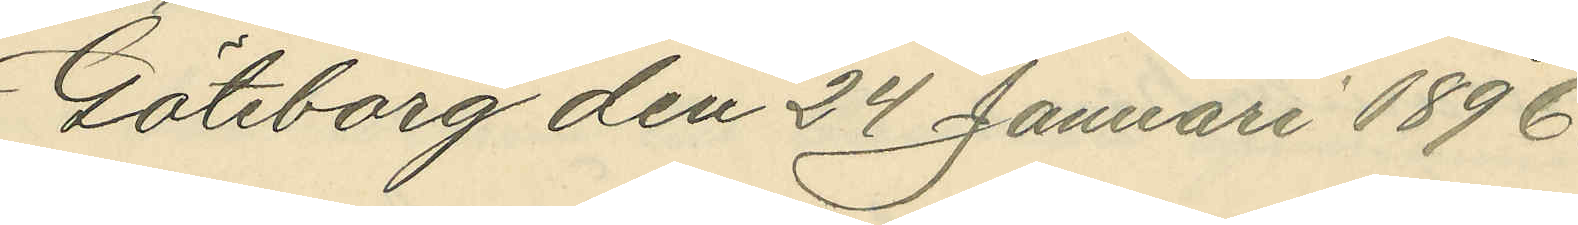Göteborg den 24 Januari 1896.
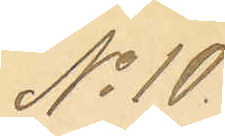No 10.
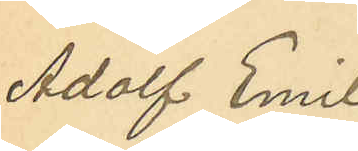Adolf Emil
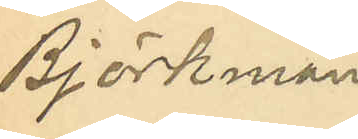Björkman.
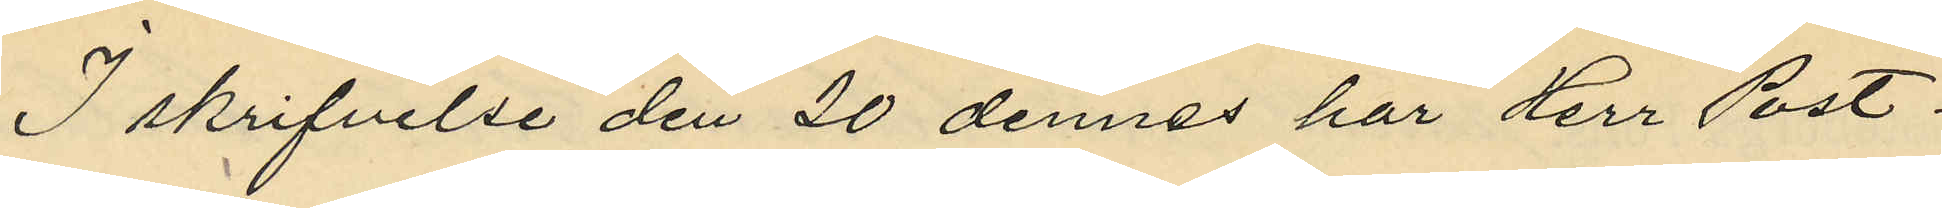I skrifvelse den 20 dennes har Herr Post¬
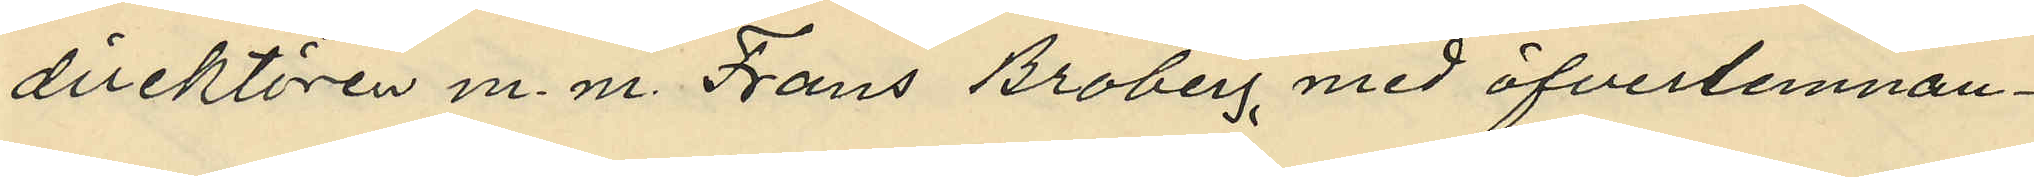direktören m. m. Frans Broberg med öfverlemnan¬
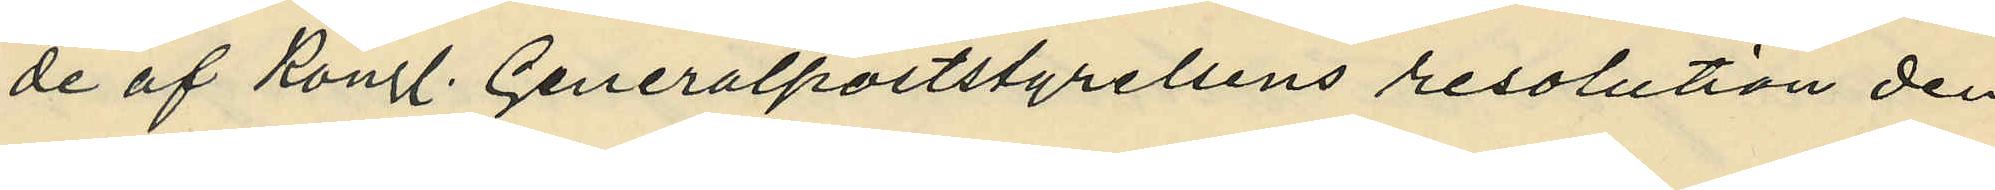de af Kongl. Generalpoststyrelsens resolution den
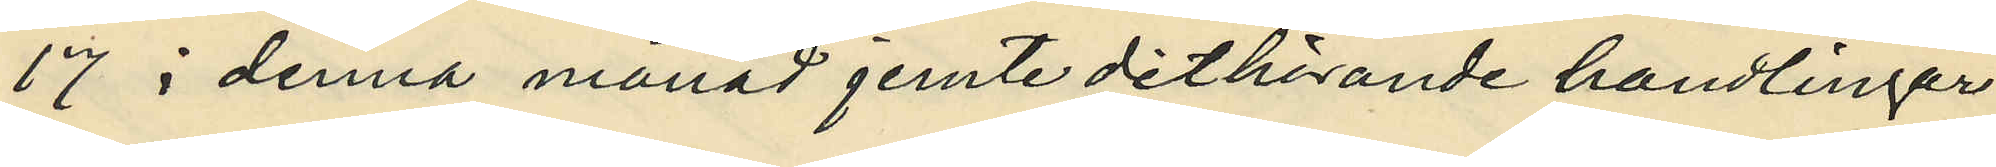17 i denna månad jemte dithörande handlingar
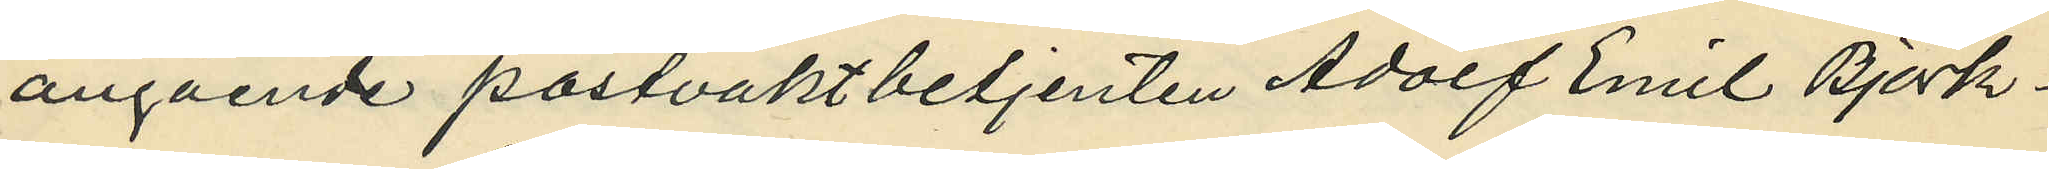angående postvaktsbetjenten Adol Emil Björk¬
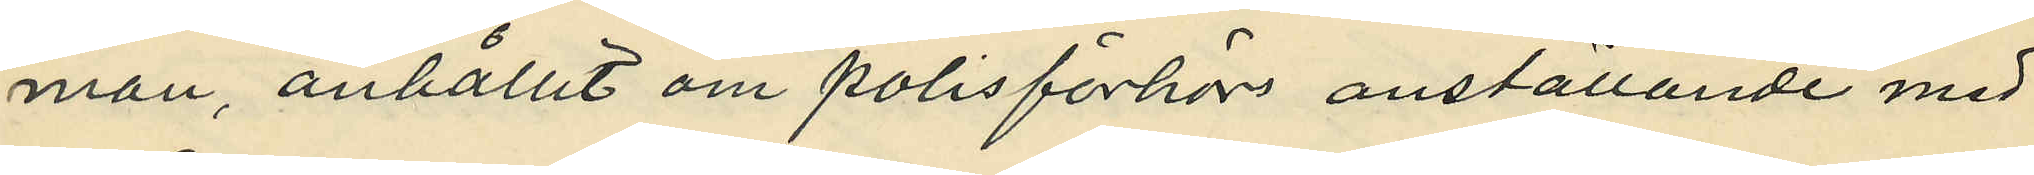man, anhållit om polisförhör anställande med
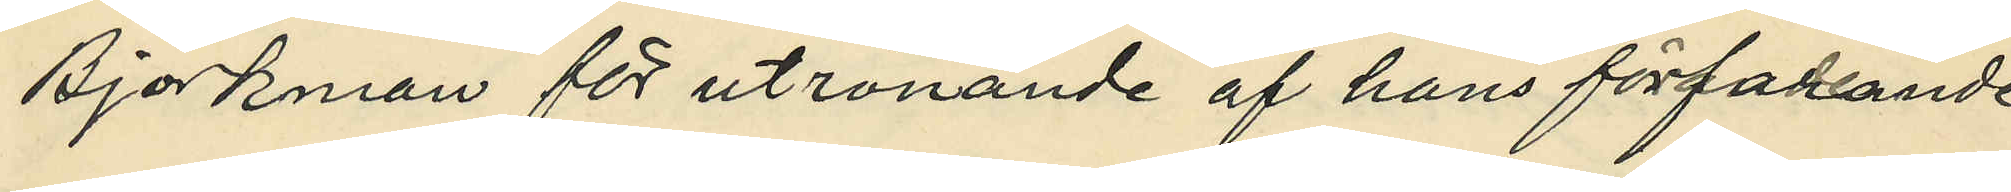Björkman för utrönande af hans förfarande
